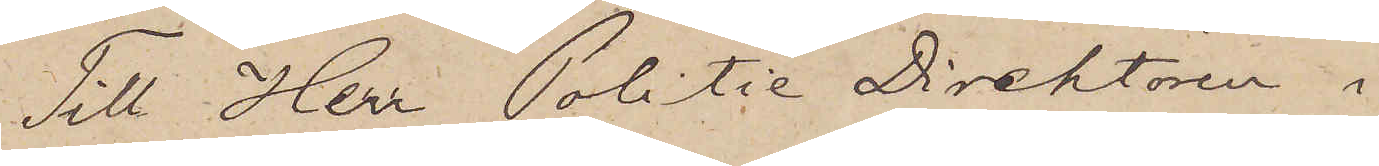Till Herr Politie Direktören i
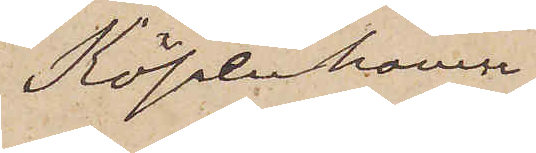Köpenhamn.
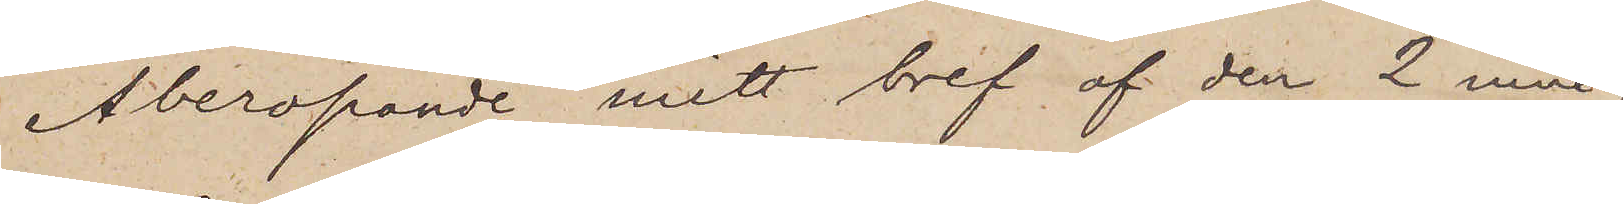Åberopande mitt bref af den 2 inne¬
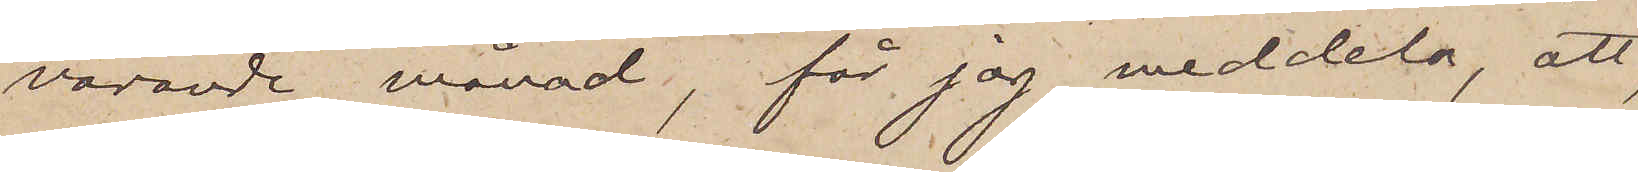varande månad, får jag meddela, att,
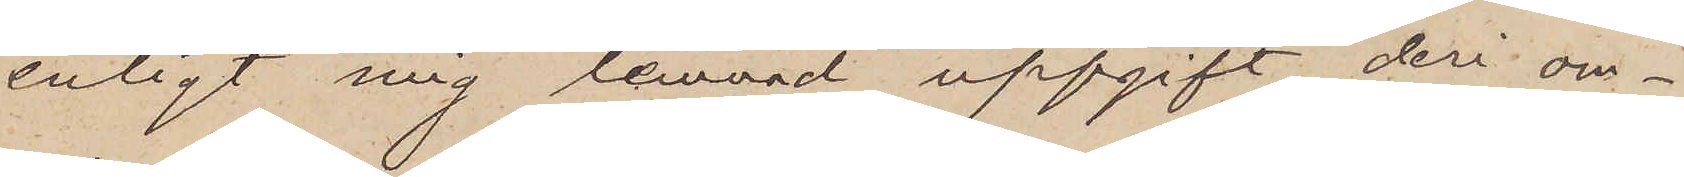enligt mig lemnad uppgift, deri om¬
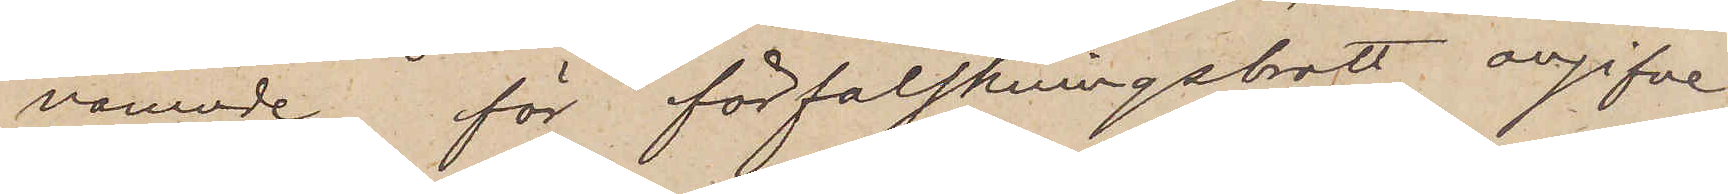nämnde, för förfalskningsbrott angifvne
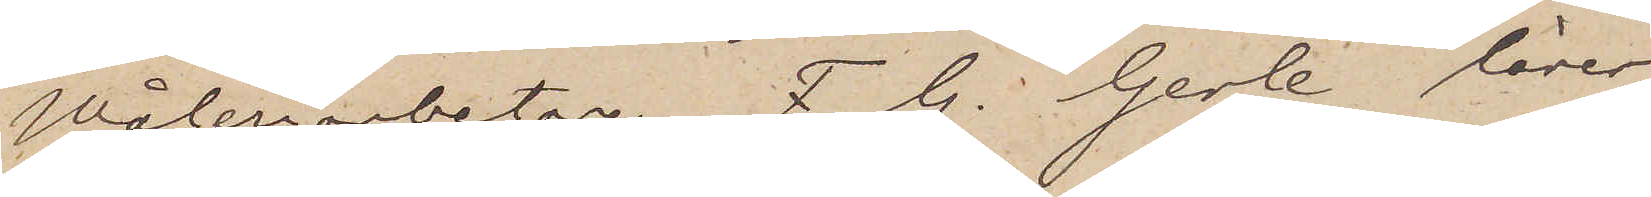Måleriarbetaren F. G. Gerle lärer
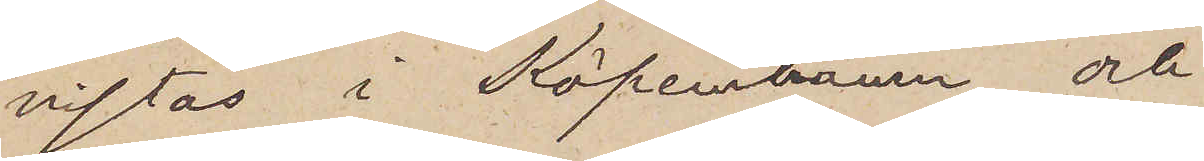vistas i Köpenhamn och
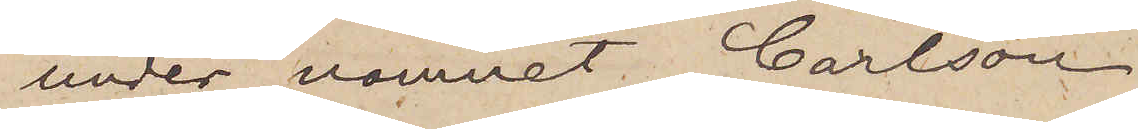under namnet Carlson
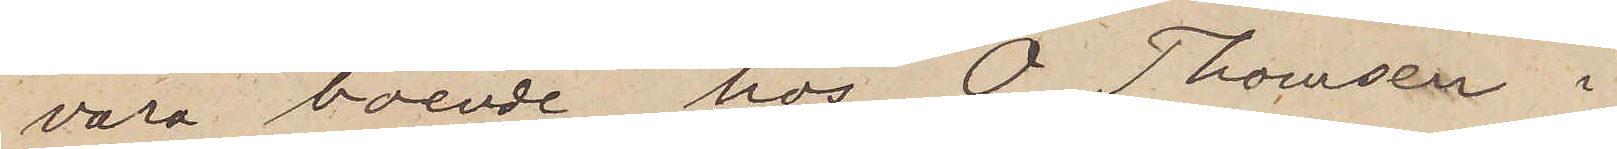vara boende hos O. Thomsen i
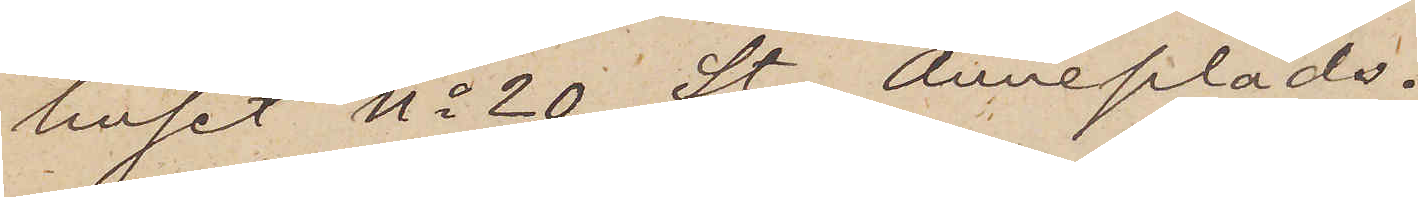huset No 20 St. Anneplads.
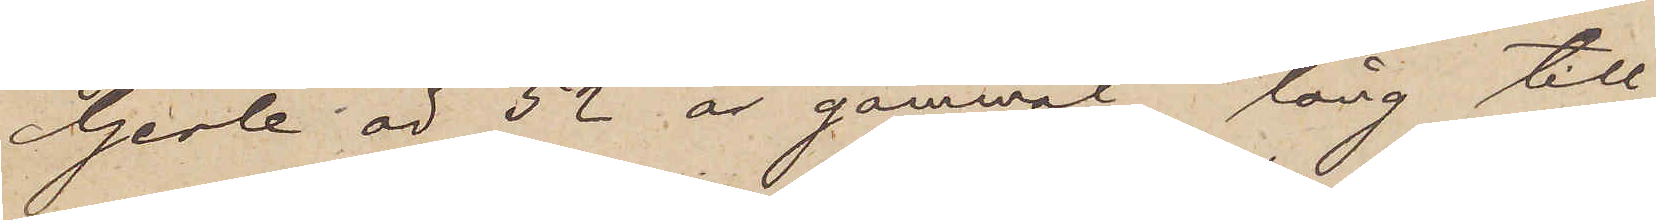Gerle är 52 år gammal lång till
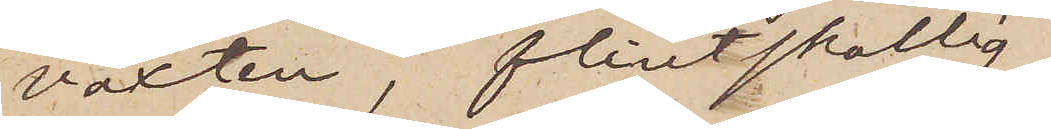växten, flintskallig,
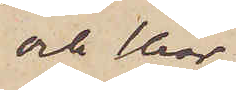och har
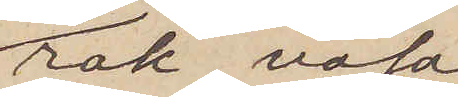rak näsa.
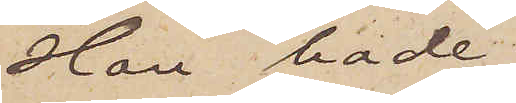Han hade
